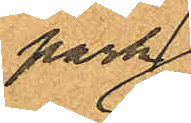park¬
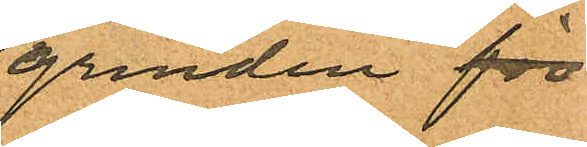grinden för
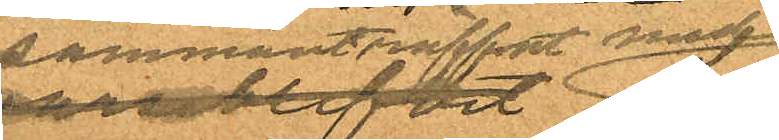sammanträffat med
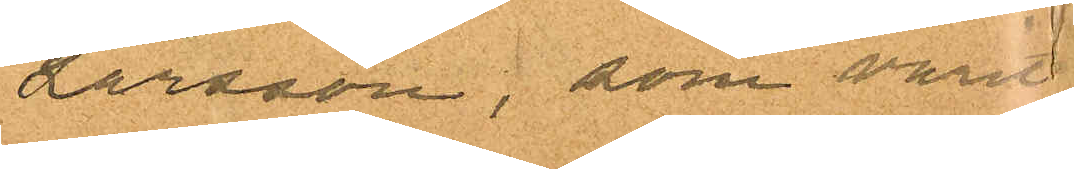Larsson, som varit
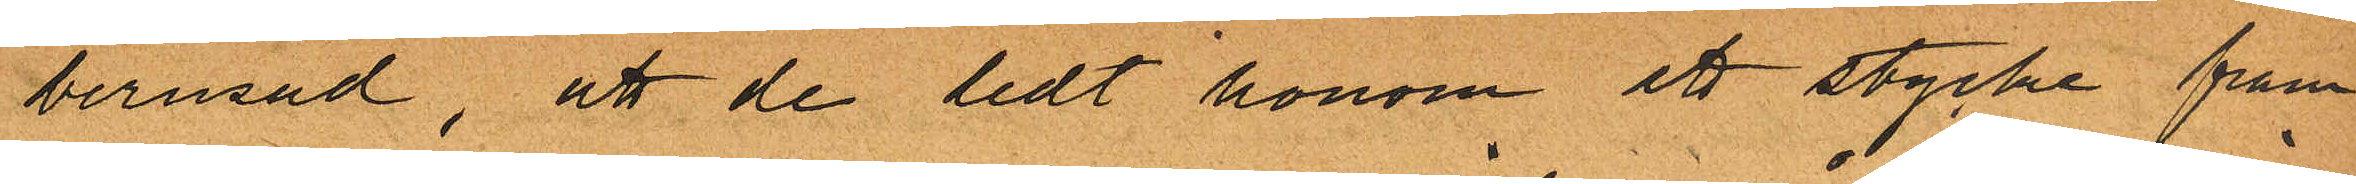berusad, att de ledt honom ett stycke fram
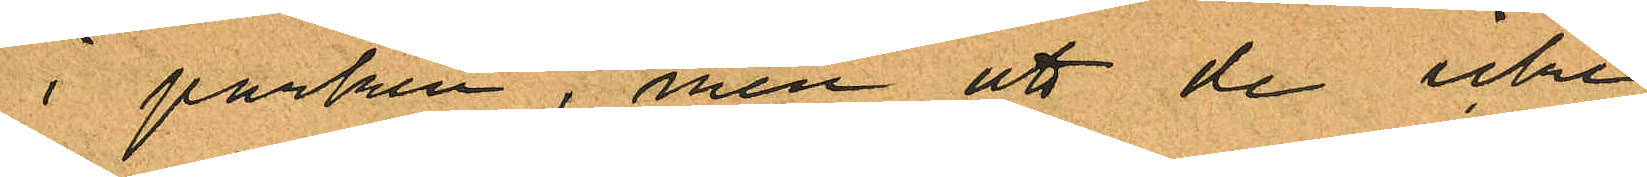i parken, men att de icke
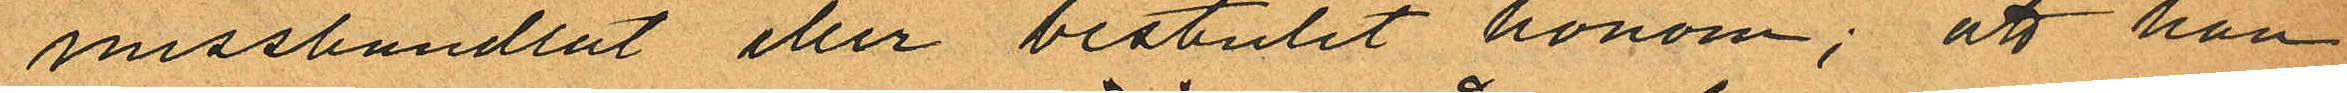misshandlat eller bestulit honom; att han
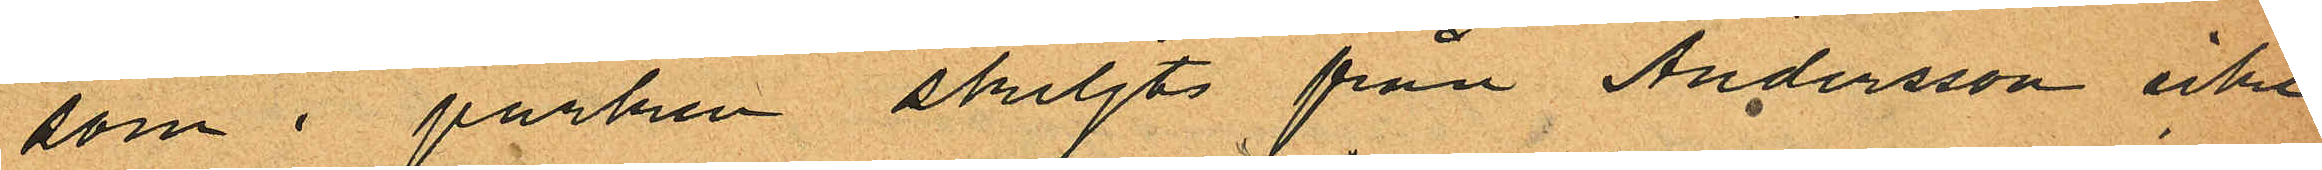som i parken skiljts från Andersson icke
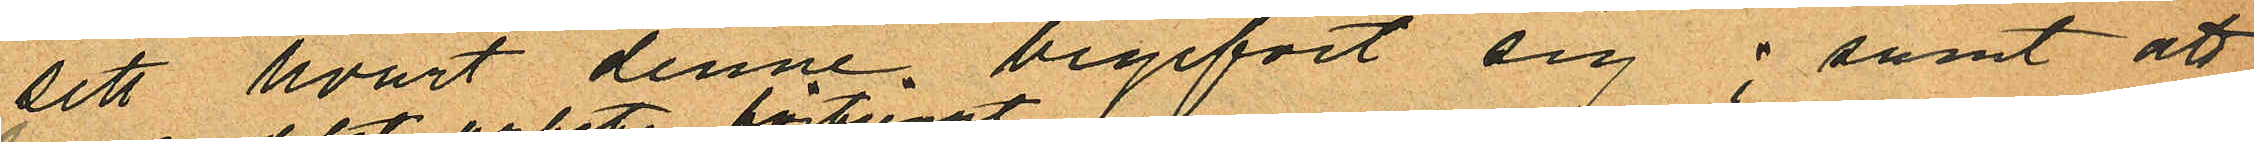sett hvart denne begifvit sig; samt att
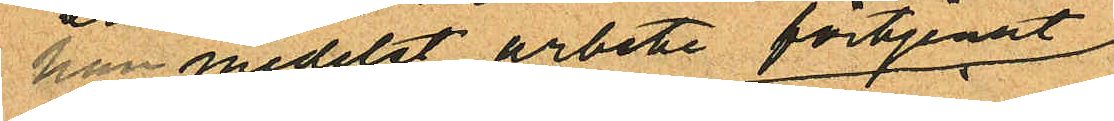han medelst arbete förtjenat
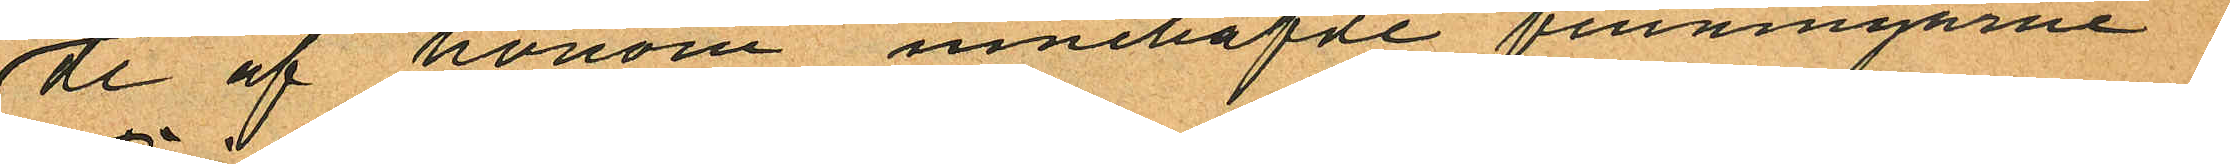de af honom innehafde penningarne.
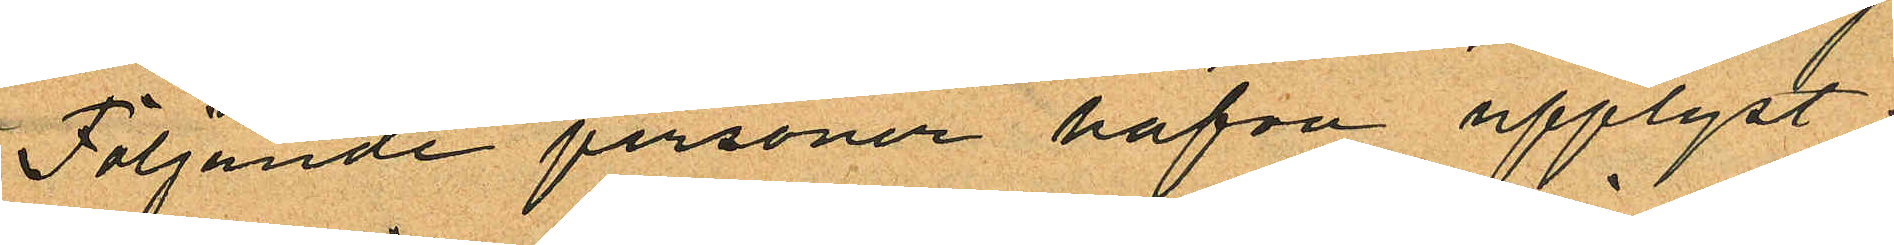Följande personer hafva upplyst:
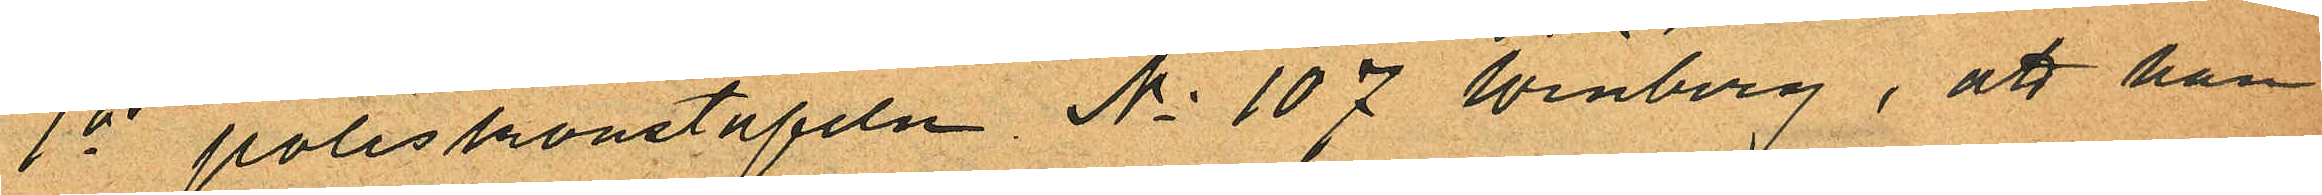1o poliskonstapeln No 107 Winberg, att han
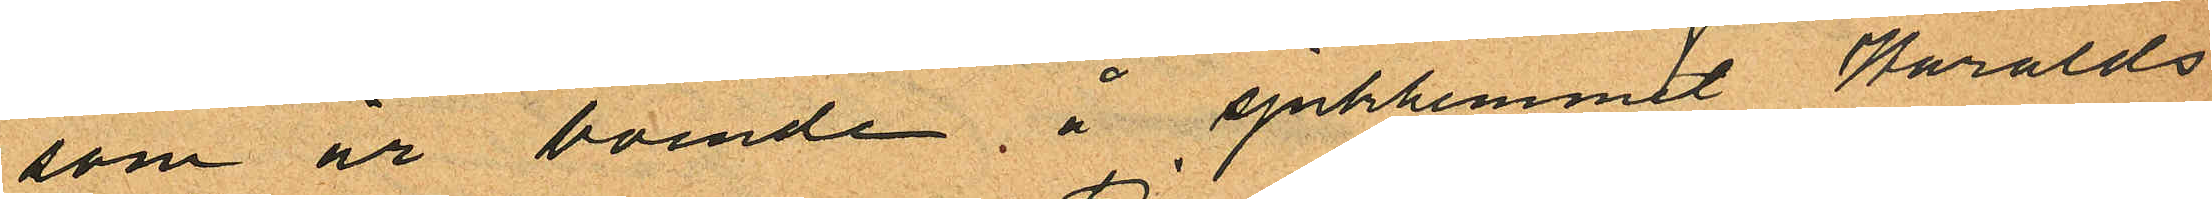som är boende, å sjukhemmet Haralds
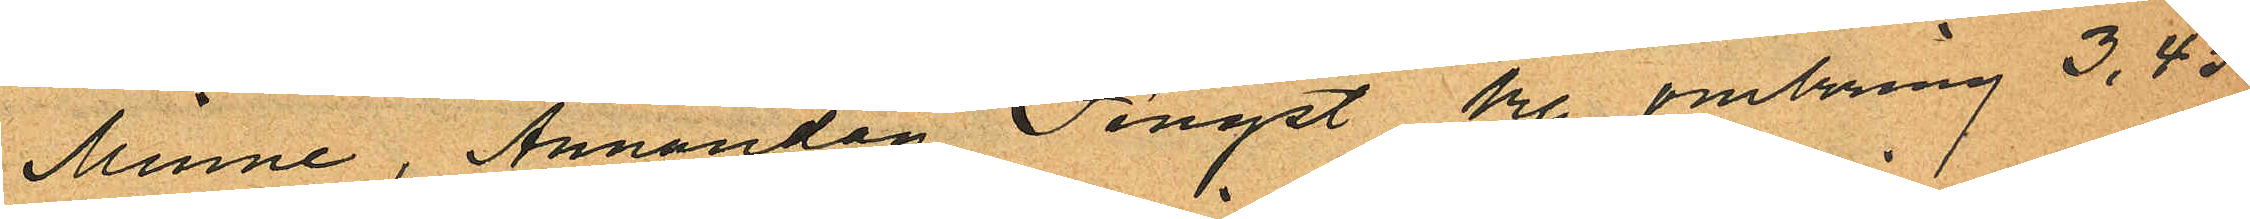Minne, Annandag Pingst kl omkring 3,45
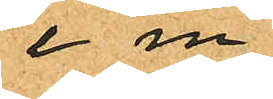e m
